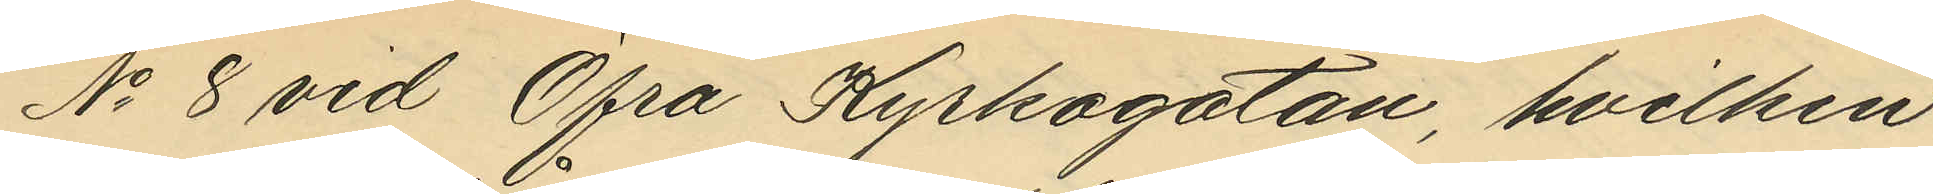No 8 vid Öfra Kyrkogatan, hvilken
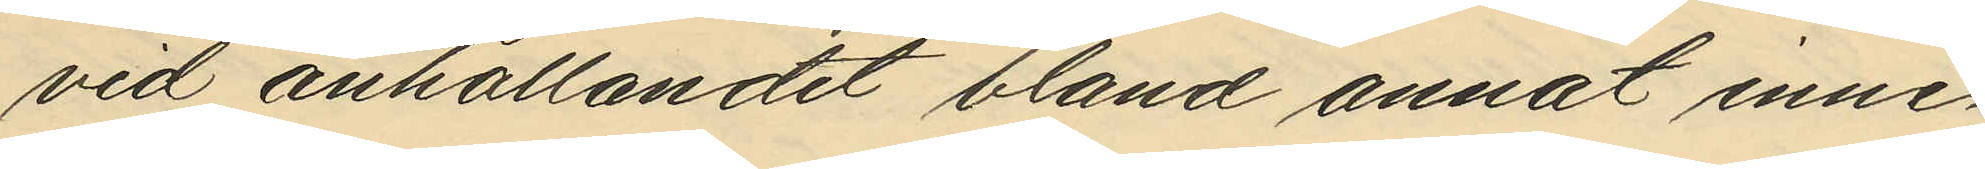vid anhållandet bland annat inne¬
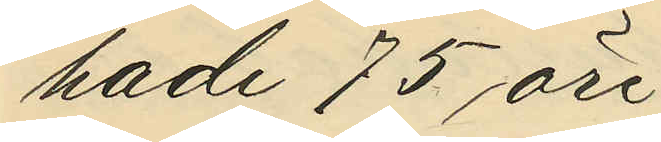hade 75 öre
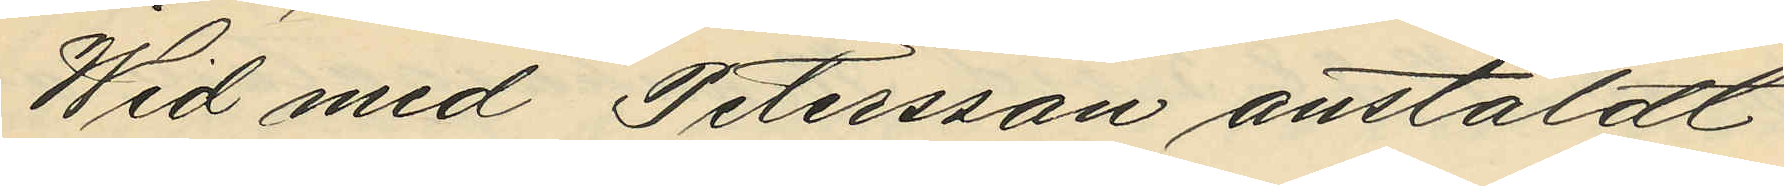Wid med Petersson anstäldt
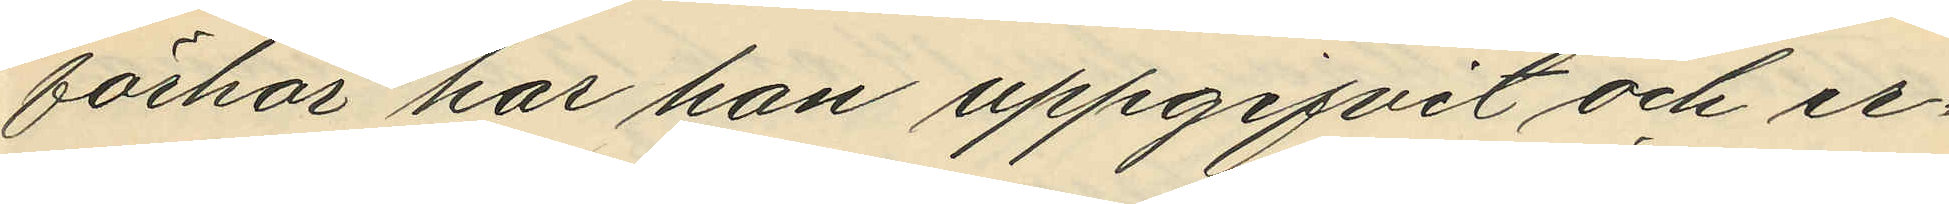förhör har han uppgifvit och er¬
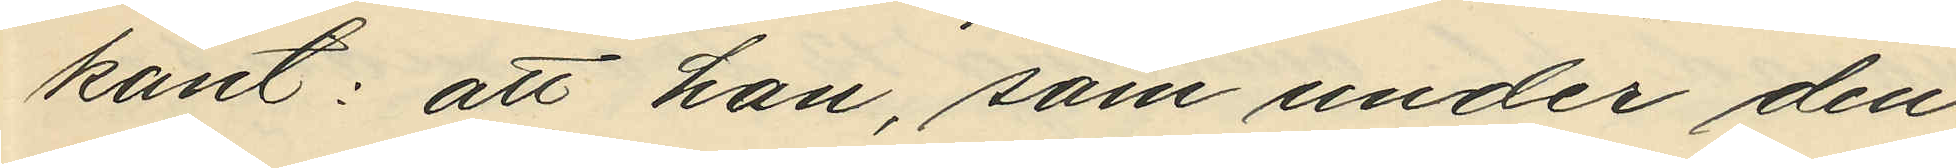känt: att han, som under den
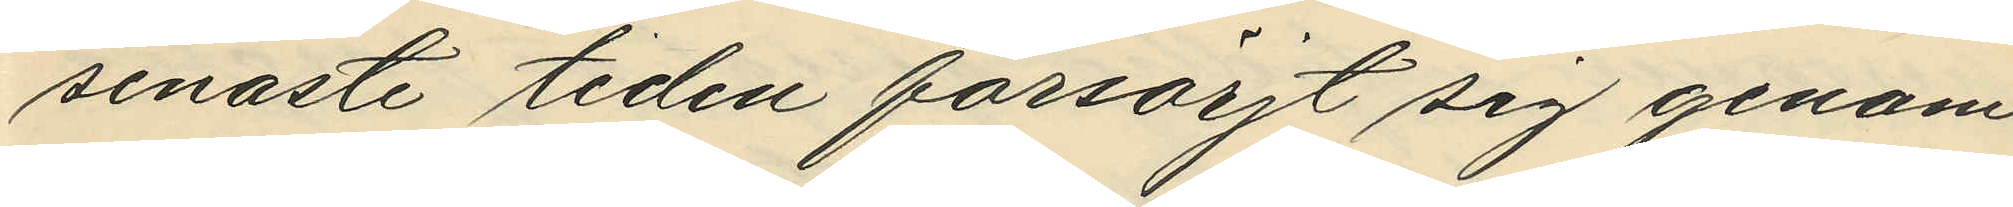senaste tiden försörjt sig genom
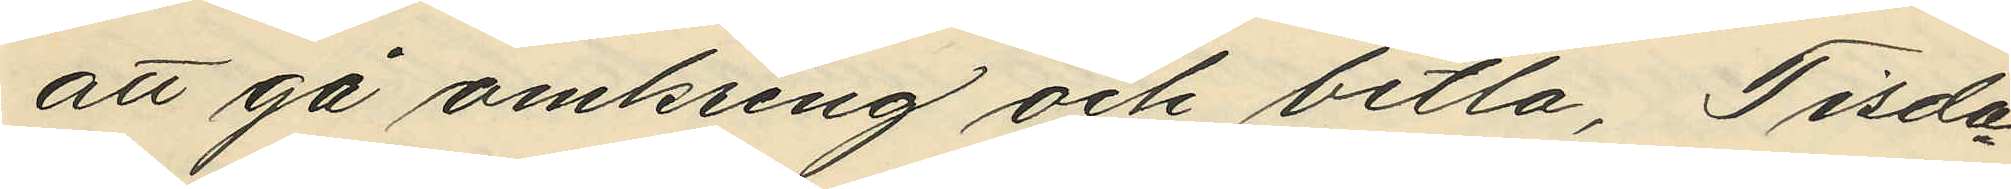att gå omkring och betla, Tisda¬
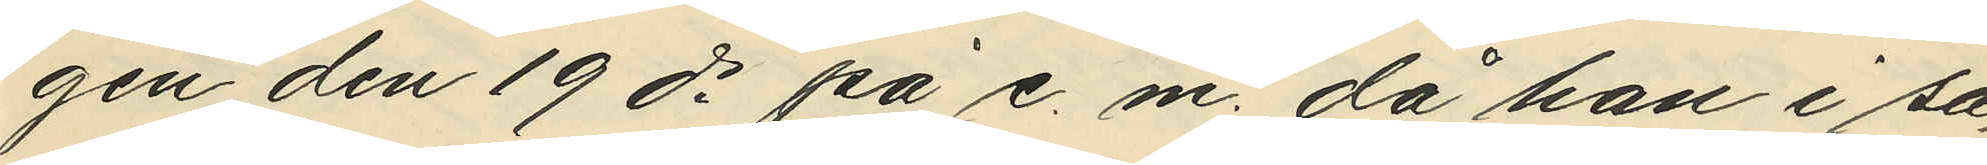gen den 19 ds på e. m. då han i så¬
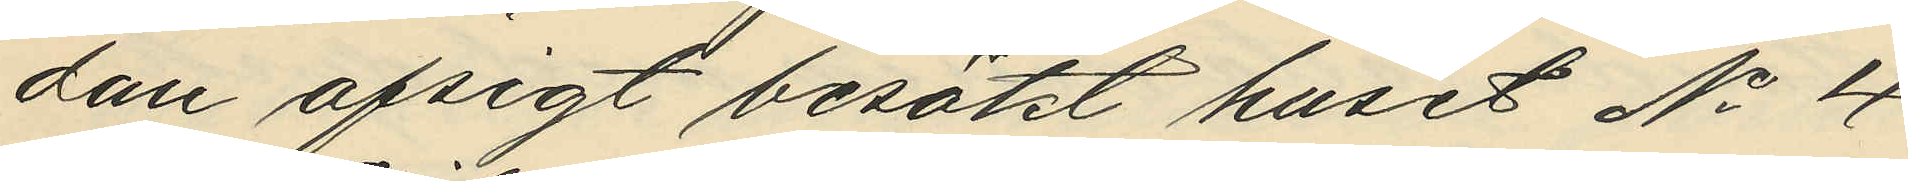dan afsigt besökt huset No 4
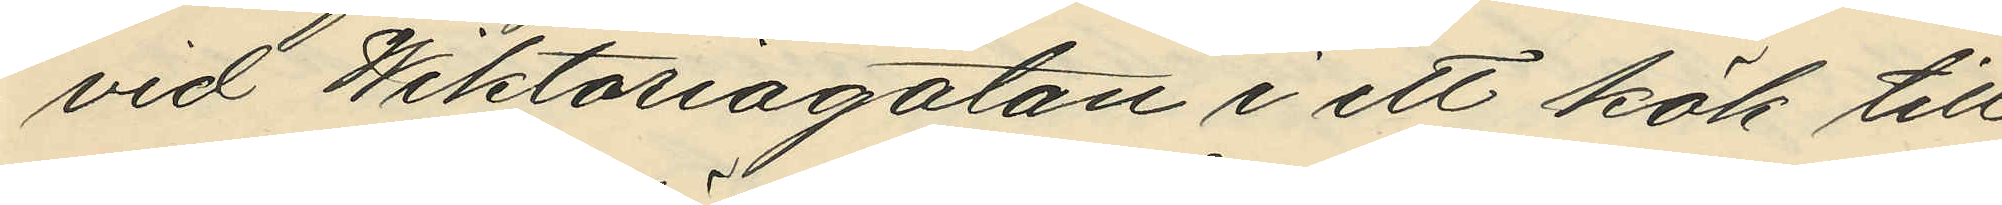vid Wiktoriagatan i ett kök till
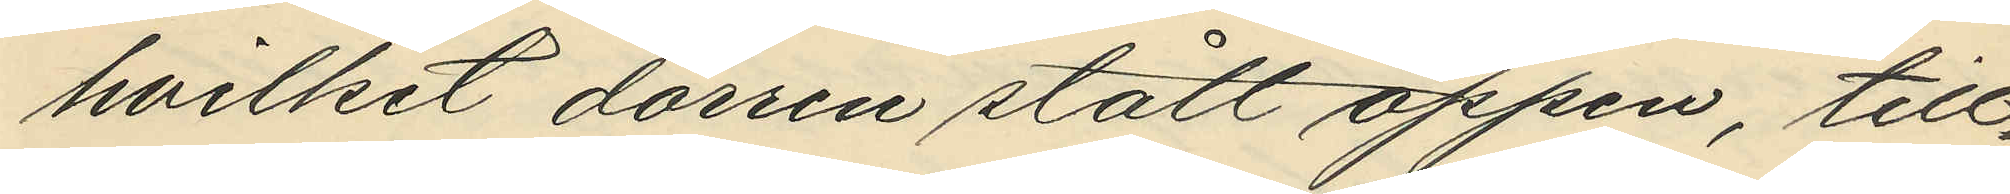hvilket dörren stått öppen, till¬
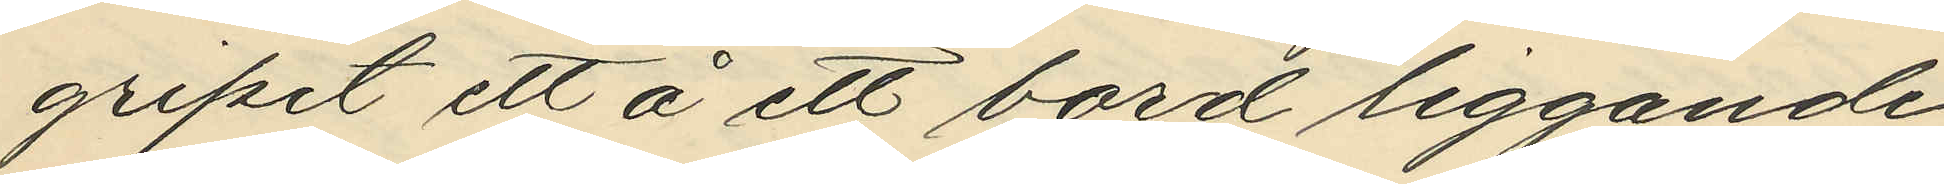gripit ett å ett bord liggande
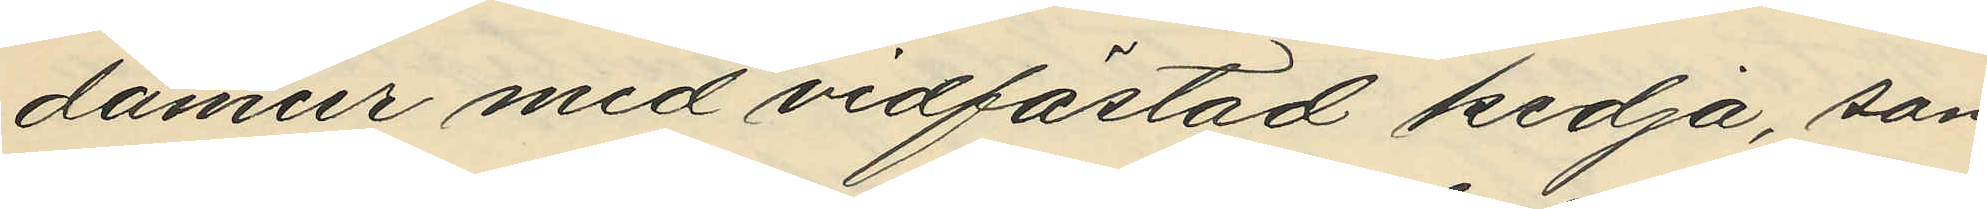damur med vidfästad kedja, som
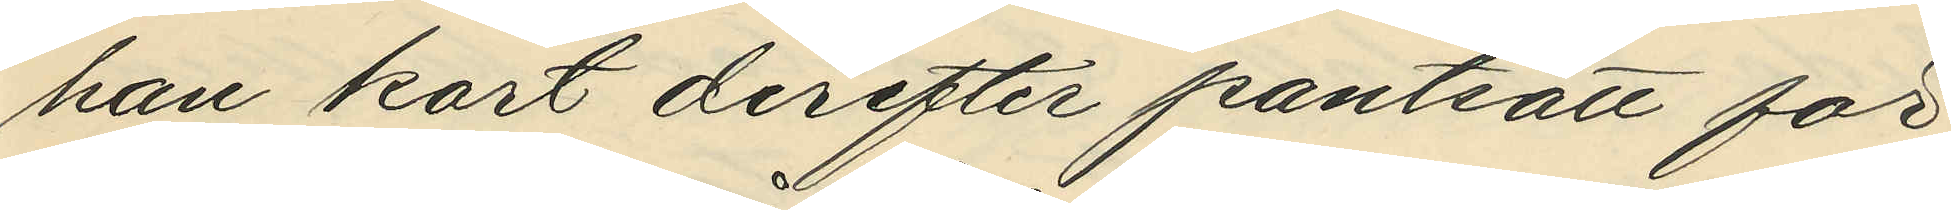han kort derefter pantsatt för
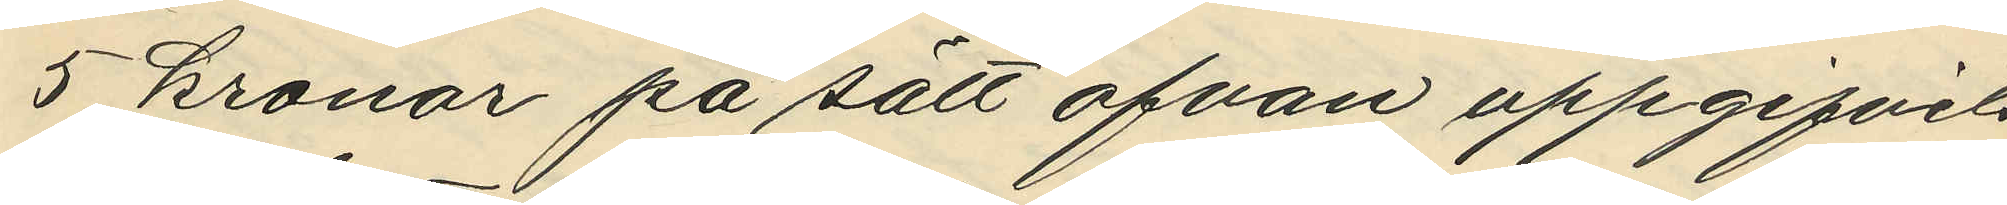5 kronor på sätt ofvan uppgifvits
